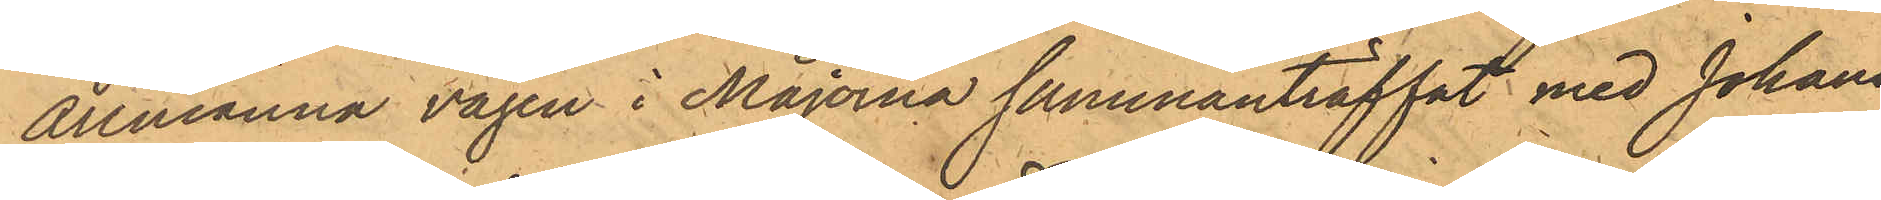Allmänna vägen i Majorna sammanträffat med Johans¬
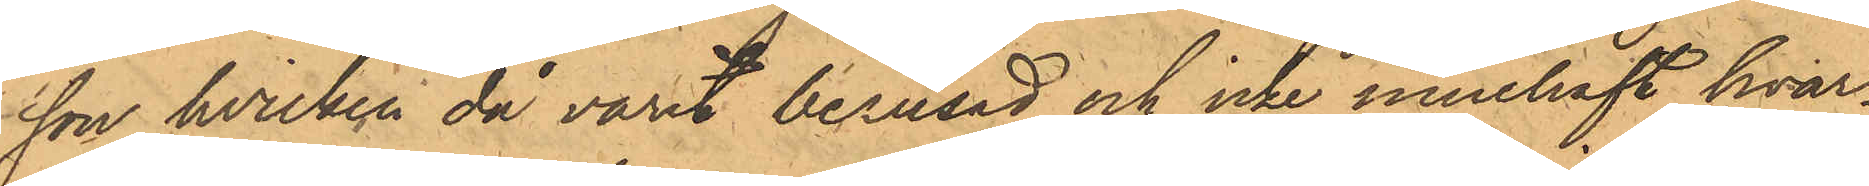son, hvilken då varit berusad och icke innehaft hvar¬
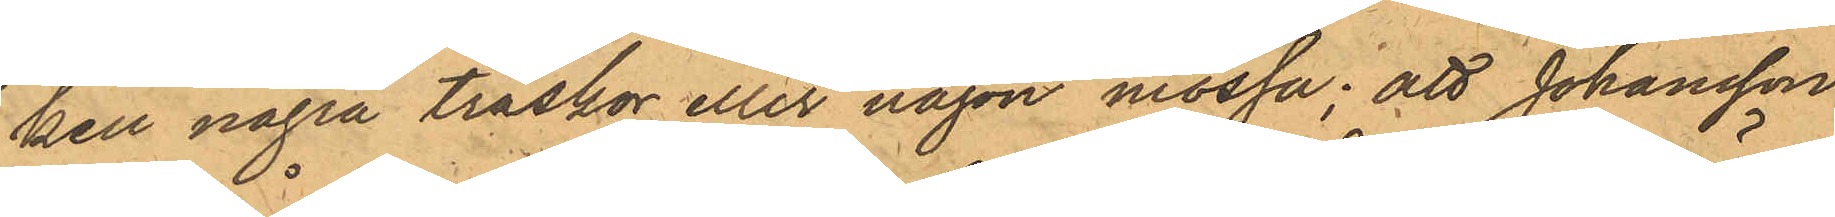ken några träskor eller någon mössa; att Johansson
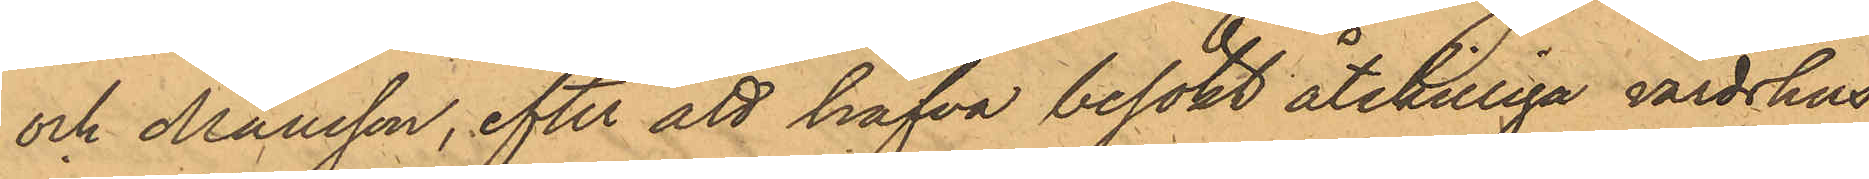och Månsson, efter att hafva besökt åtskilliga värdshus,
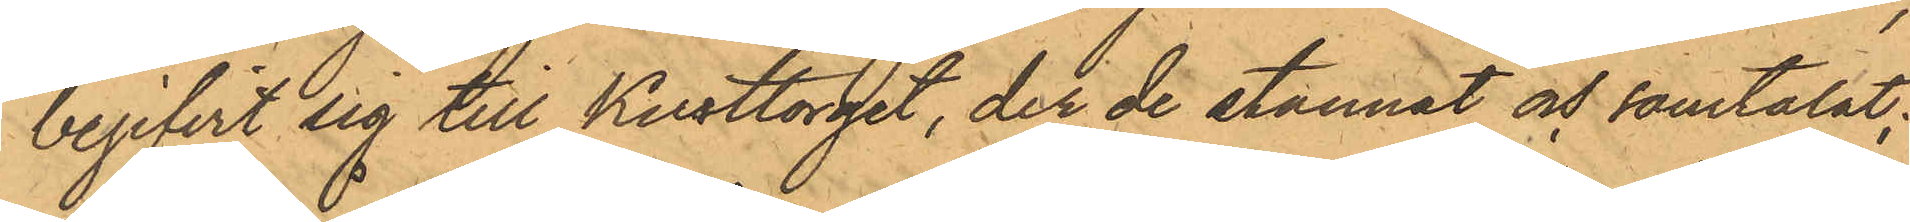begifvit sig till Kusttorget, der de stannat och samtalat;
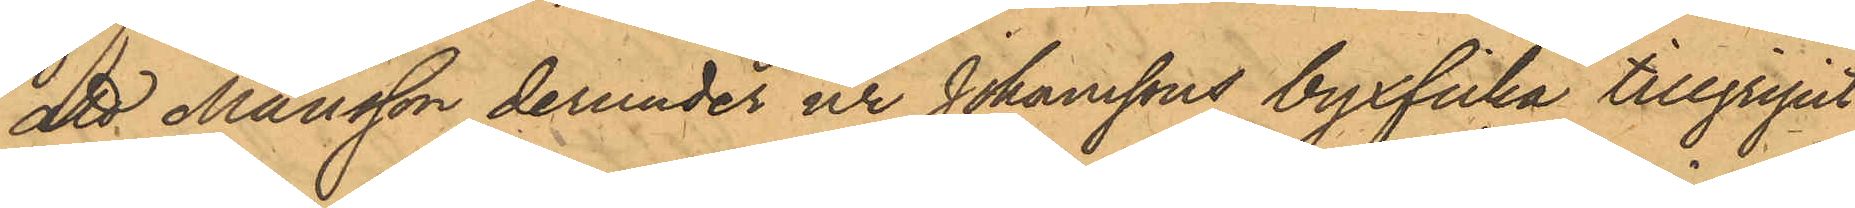att Månsson derunder ur Johanssons byxficka tillgripit
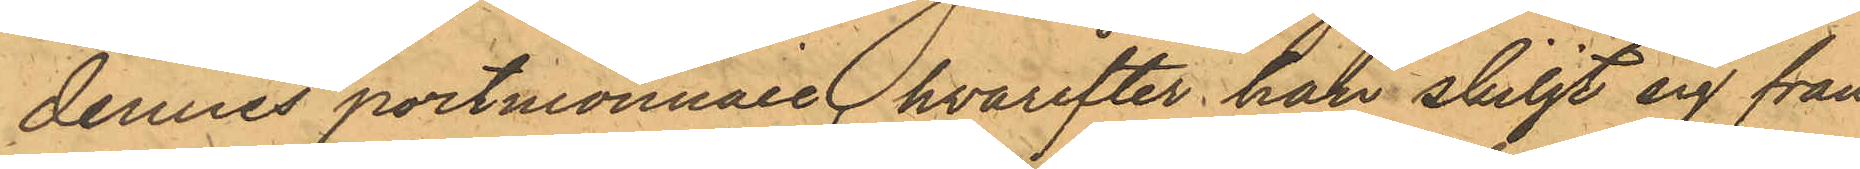dennes portmonnaie, hvarefter han skiljt sig från
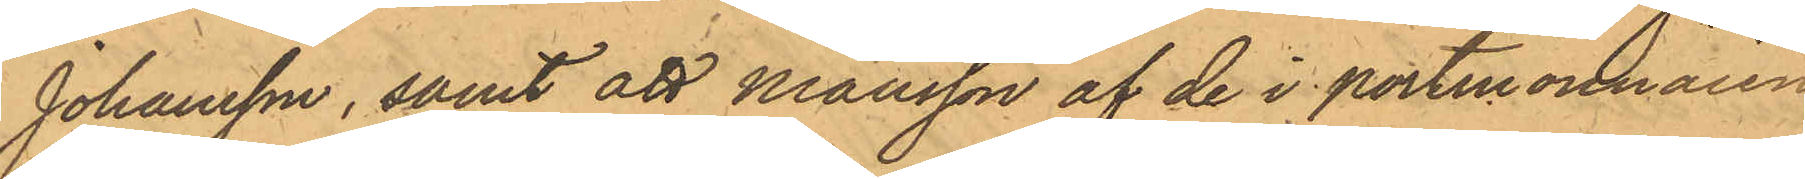Johansson, samt att Månsson af de i portmonnaien
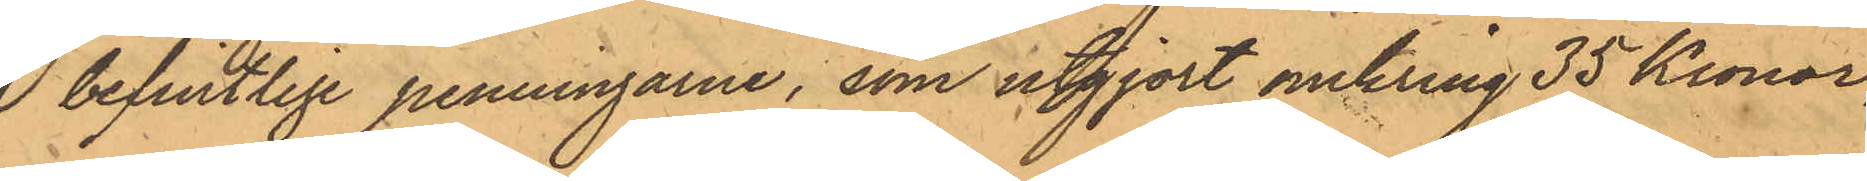 befintlige penningarne, som utgjort omkring 35 Kronor,
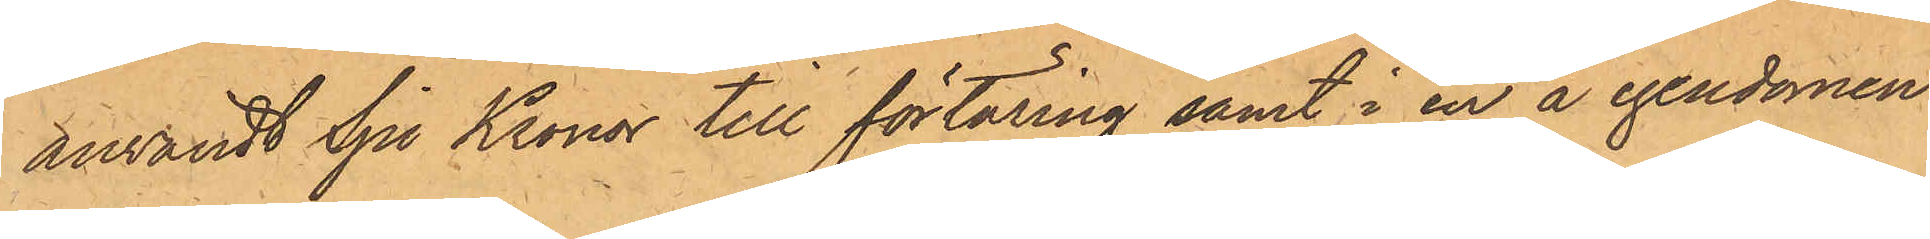användt Sju Kronor till förtäring samt i en å egendomen
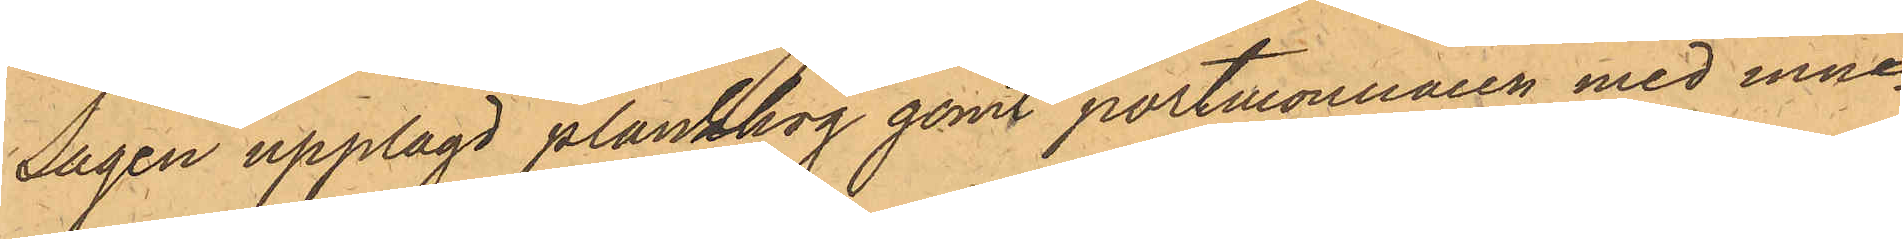Sågen upplagd plankhög gömt portmonnaien med inne¬
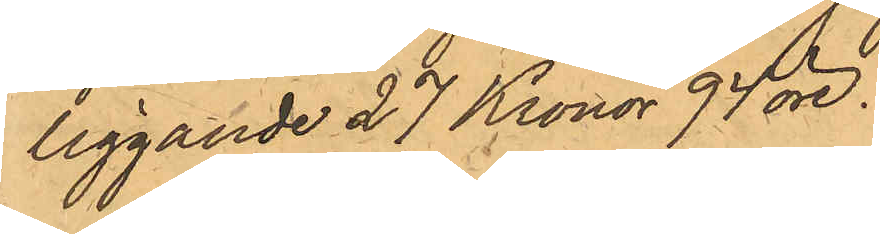liggande 27 Kronor 94 öre.
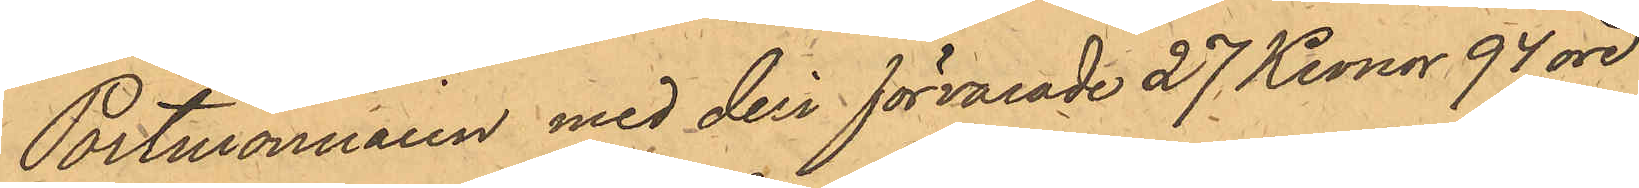Portmonnaien med deri förvarade 27 Kronor 94 öre
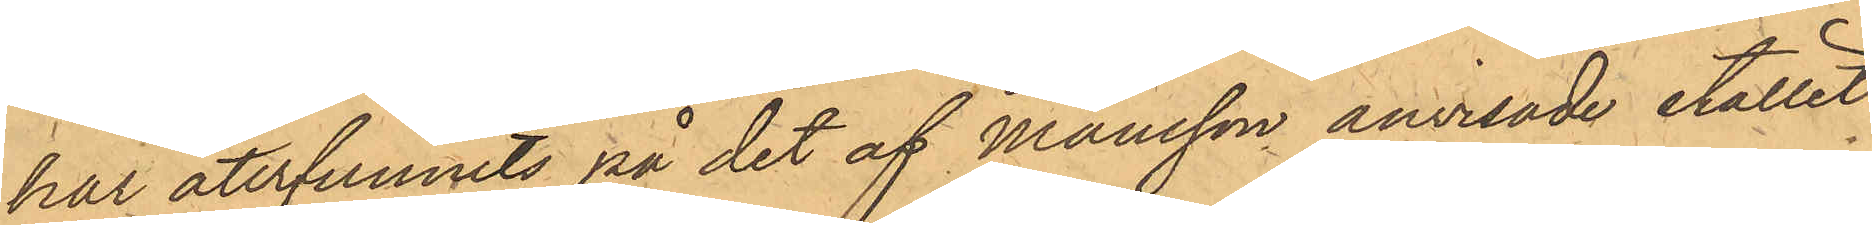har återfunnits på det af Månsson anvisade stället
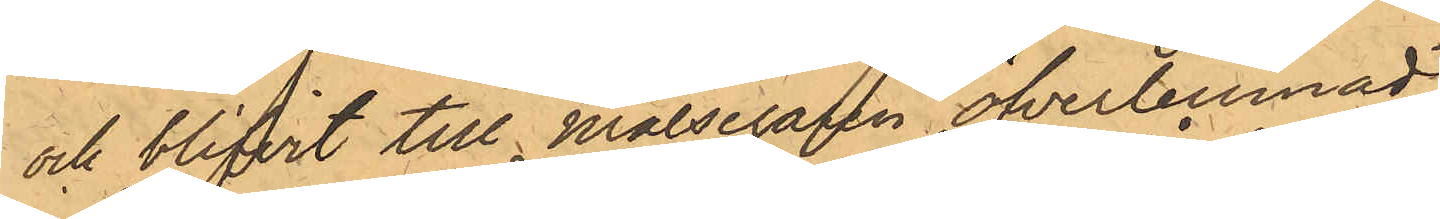och blifvit till Målsegaren öfverlemnad.
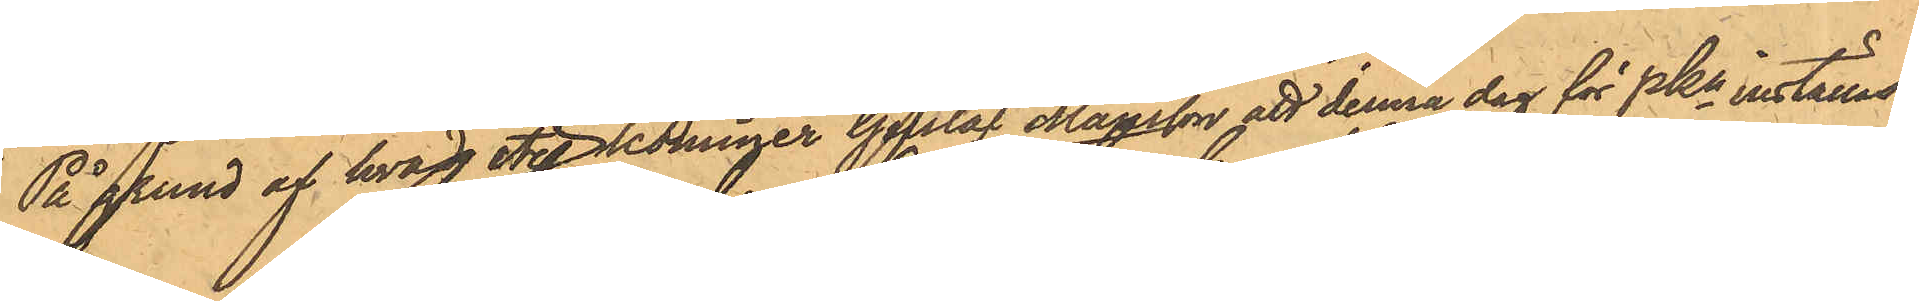På grund af hvad etc kommer Gustaf Månsson att denna dag för PKn inställas.
